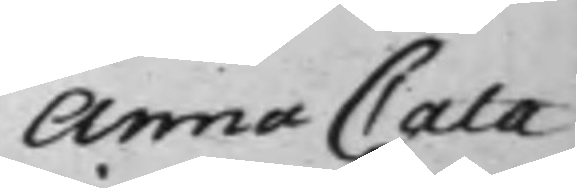Anna Cata¬
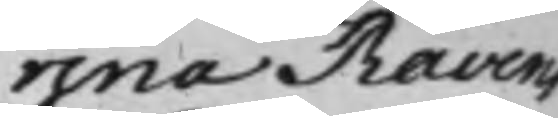rina Ravens
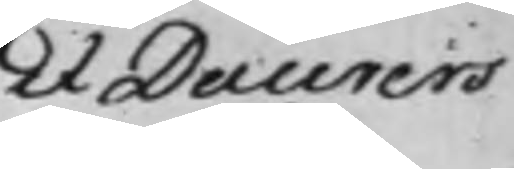et Daurers
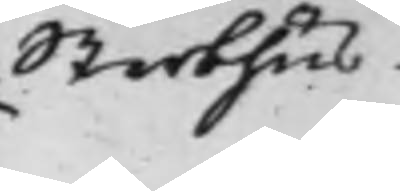Sterbhus.
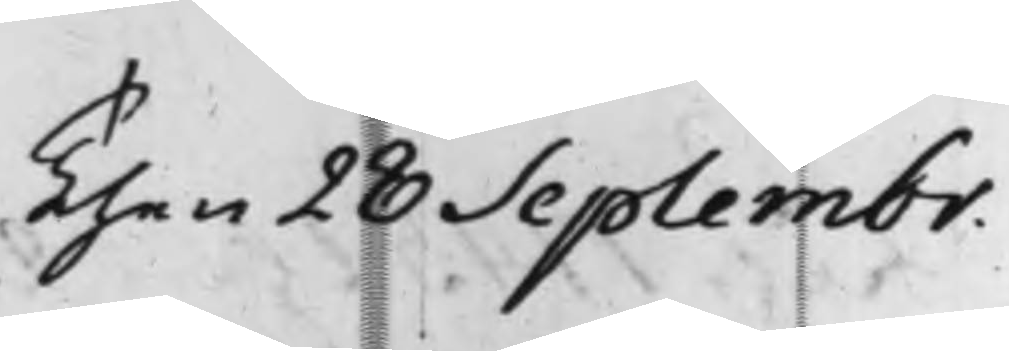Then 28 Septembr.
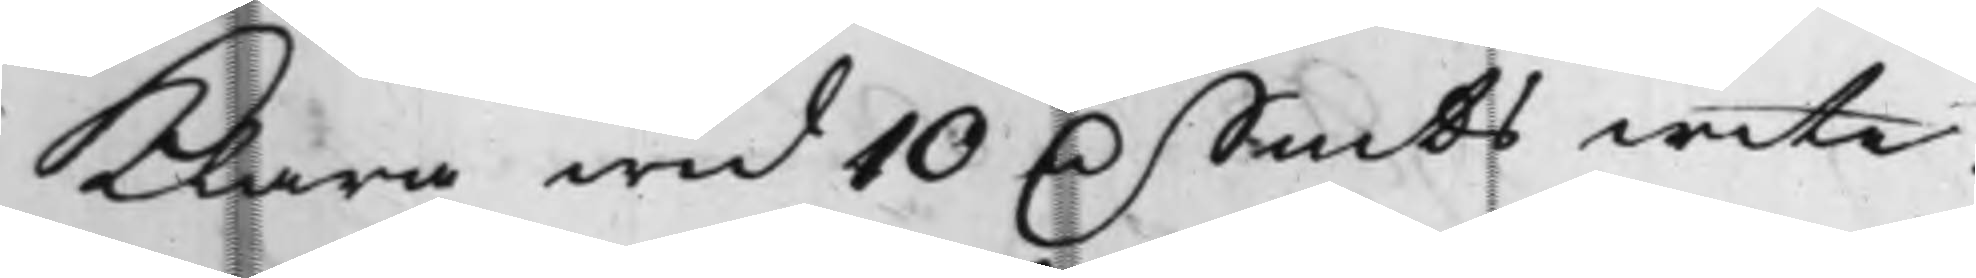klara wid 10 D. Smts wite.
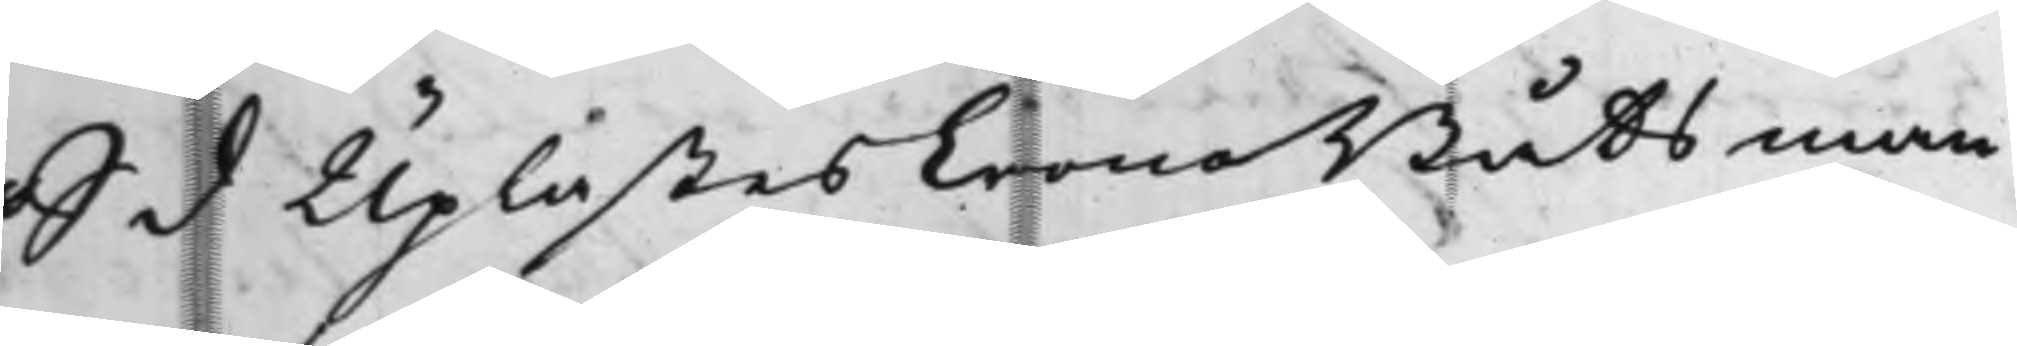S d Uplästes CronoBåtsman¬
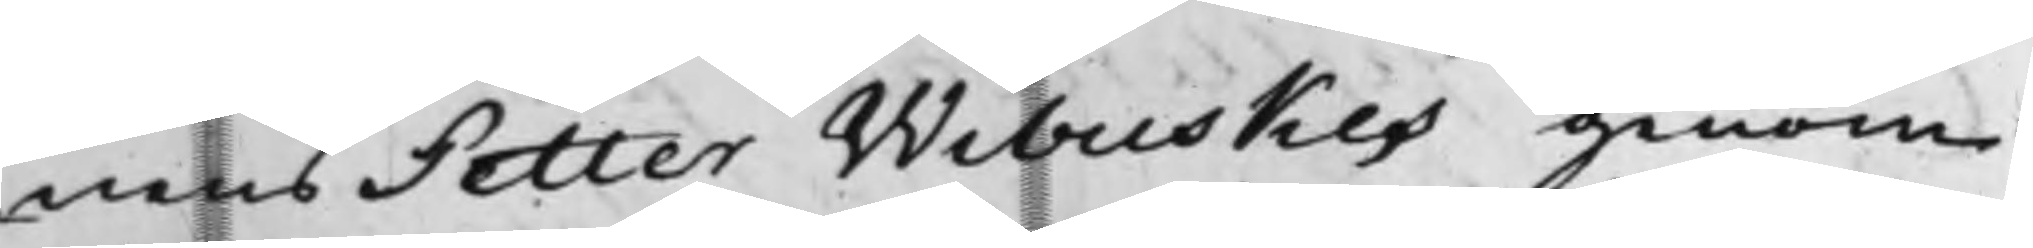nens Petter Wibuskes genom
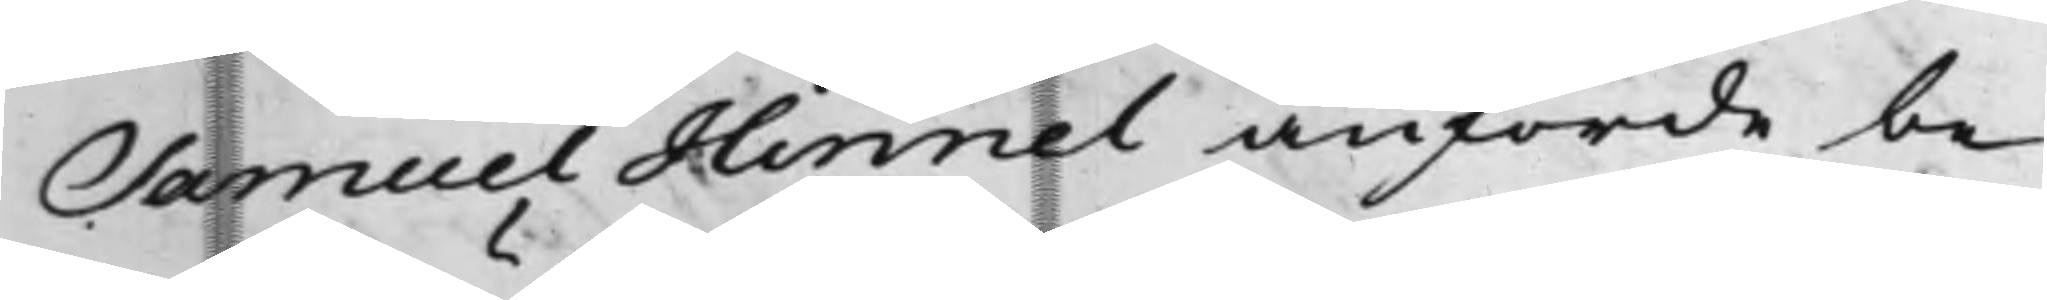Samuel Hinnel anförde be¬
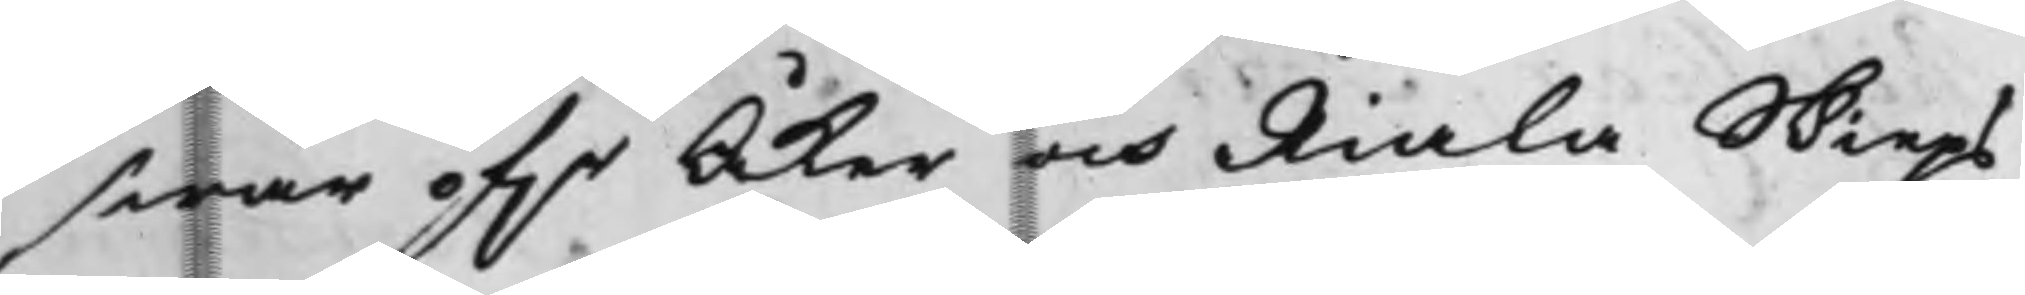swär öf.r Åker och Riala Skieps¬
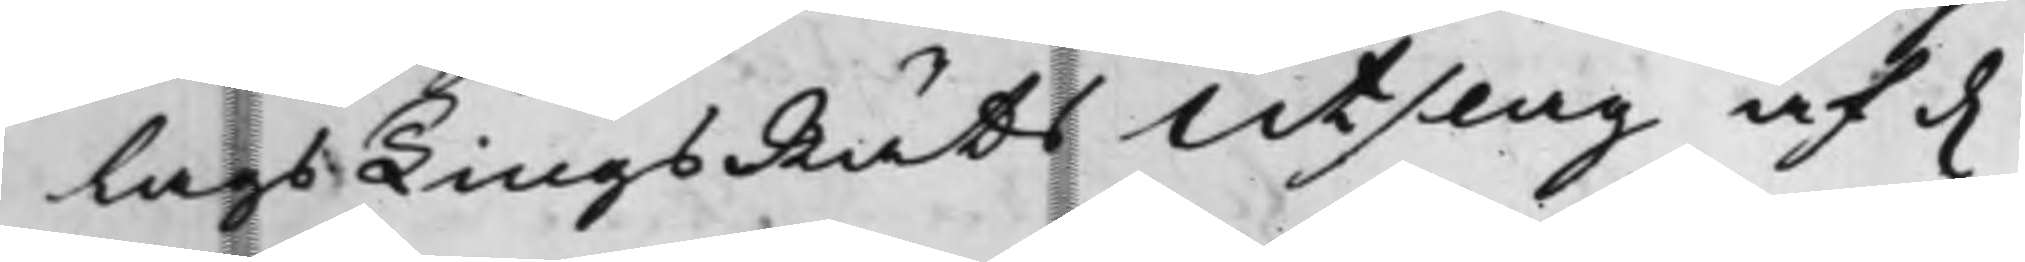Lags TingsRätts Utslag af d.
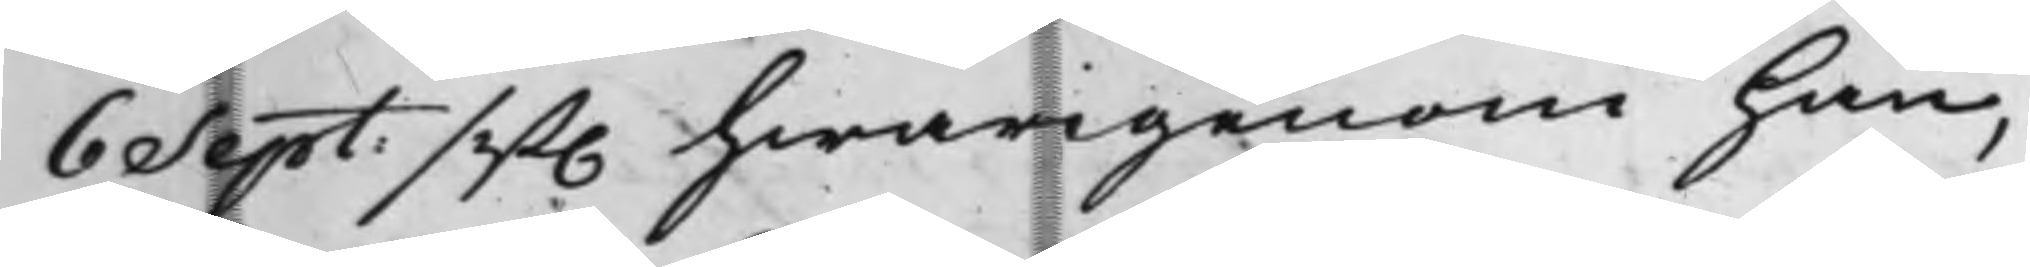6 Sept: sist. hwarigenom han,
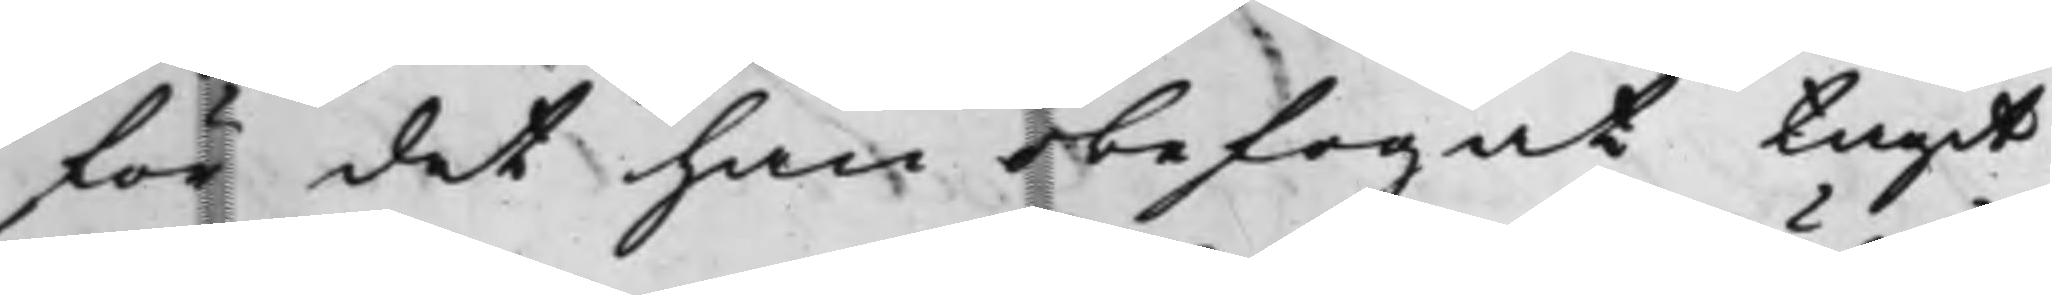för det han obefogat tagit
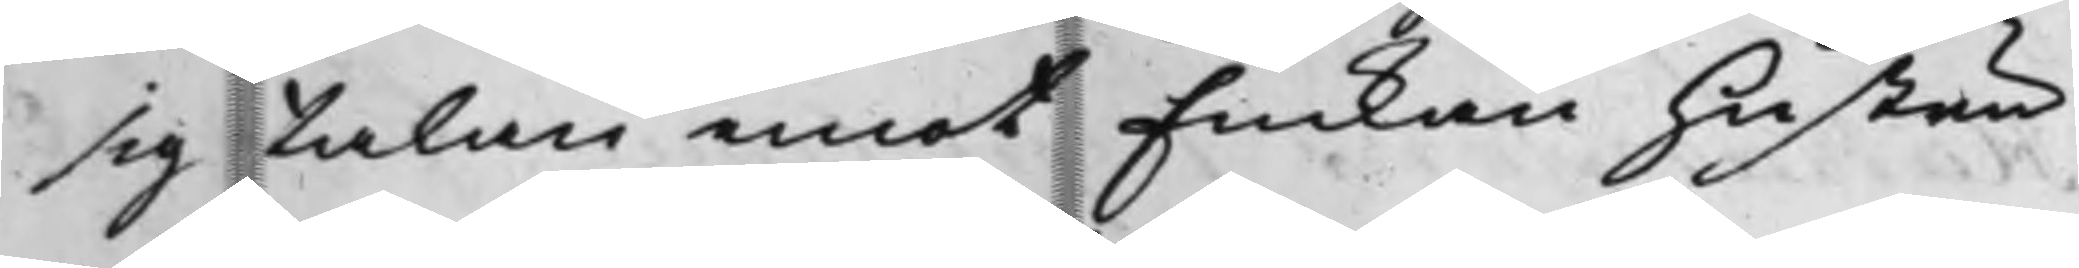sig talan emot Enkan hustru
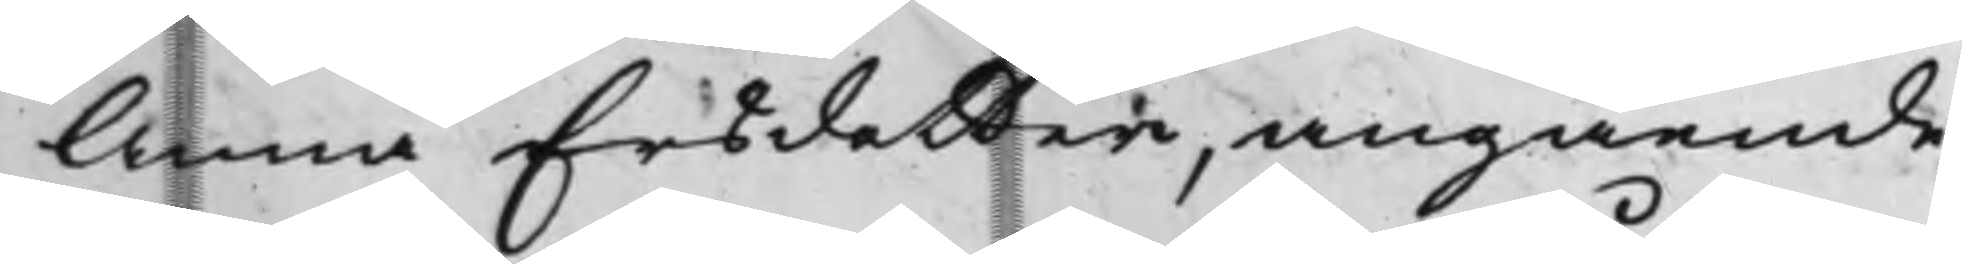Anna Ersdotter, angående
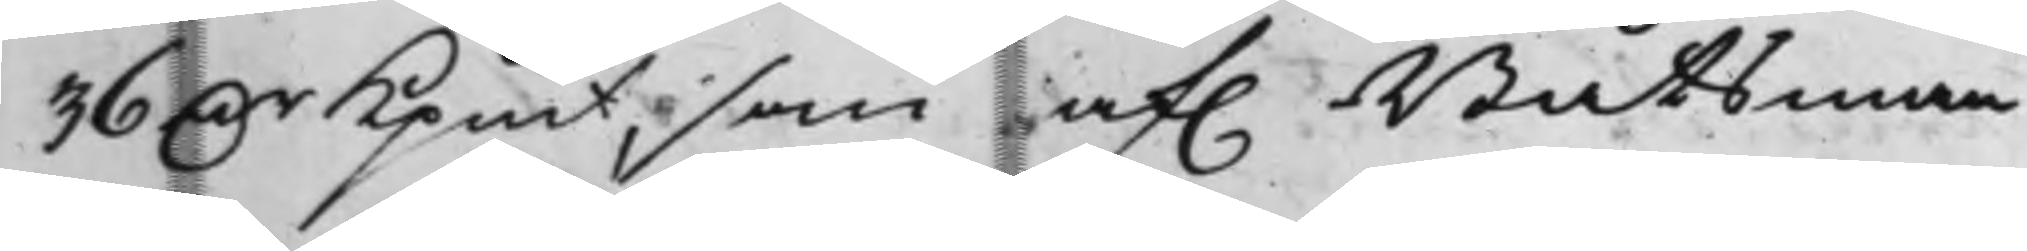36 D.r Kpmt, som af. Båtsman¬
